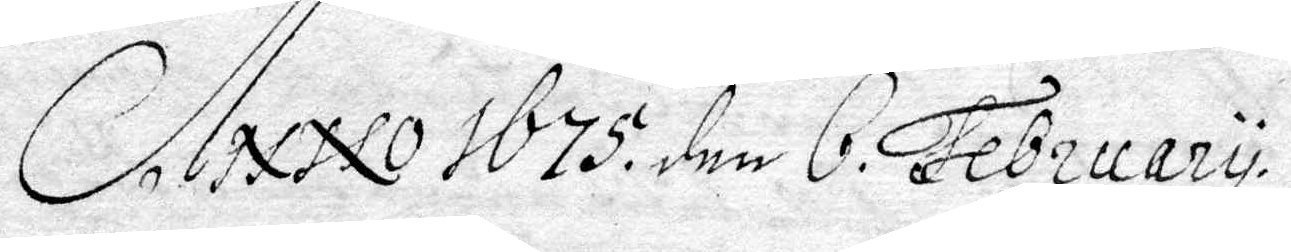Anno 1675. den 6 February.
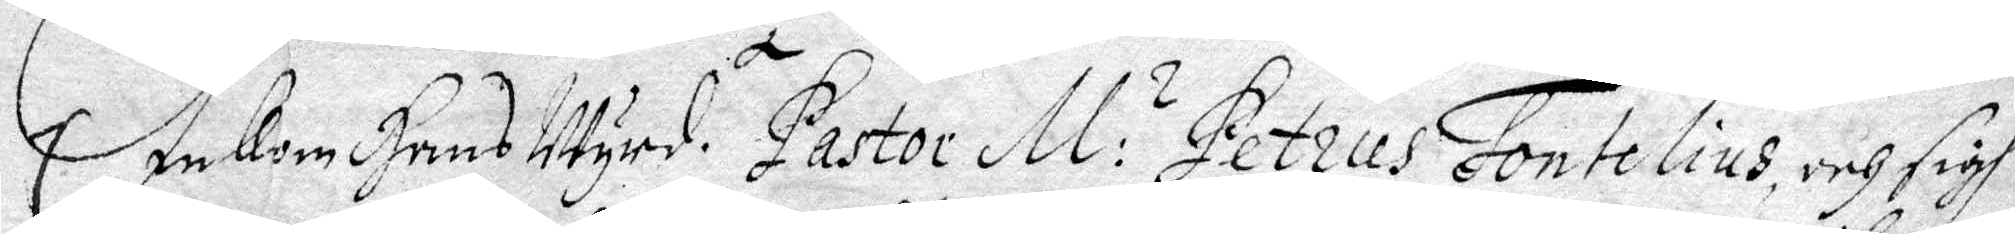Inkom Hans Wyrd. t Pastor M: s Petrus Fontelius och sigh
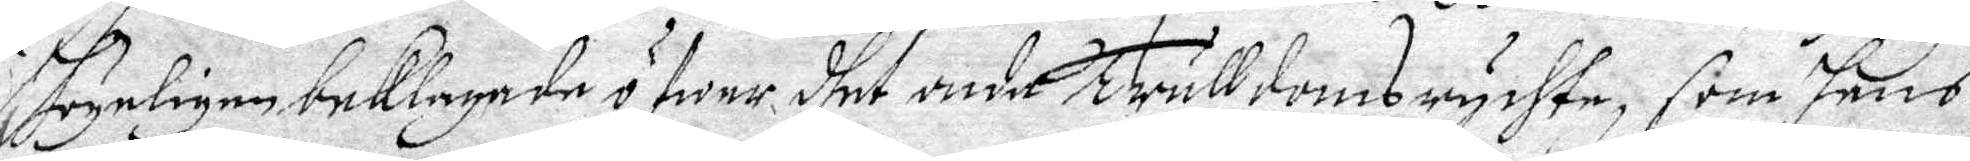..ynligen beklagade öfwer dhet onda trulldomsrychte, som hans
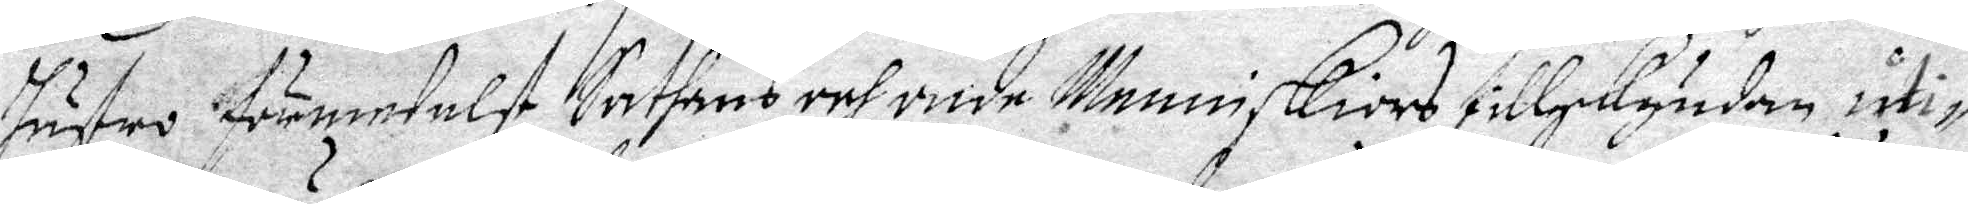hustru förmedelst Sathans och onda Menniskiors tillskyndan uti¬
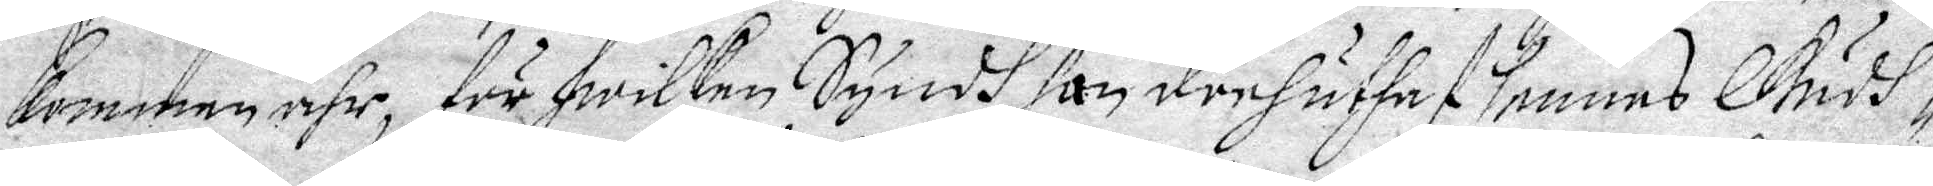kommen ähr, för hwilken Syndh hon derhuthaf hennes Gudh¬
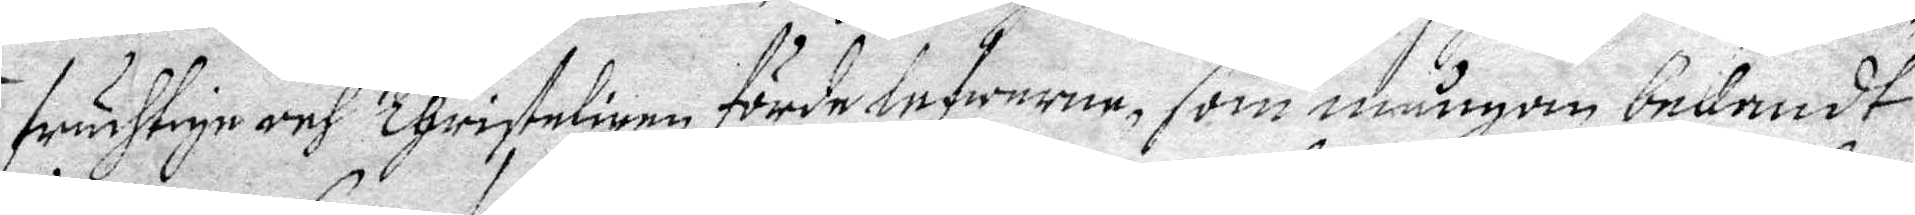fruchtige och Christeligne förde lefwerne som mången bekandt
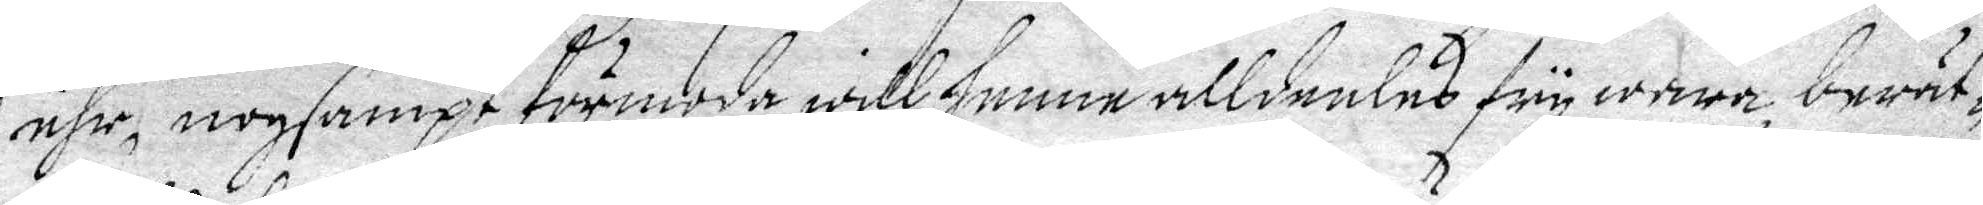ähr, nogsampt förmoda will henne alldeeles fry wara berät¬
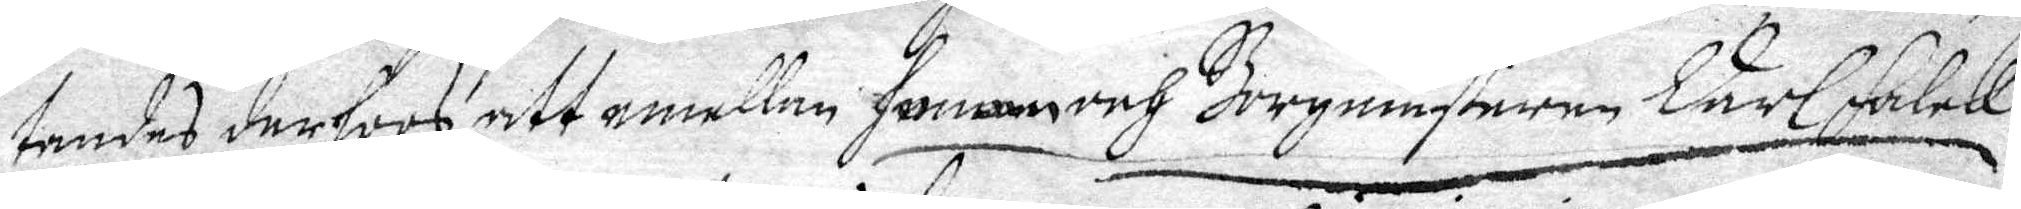tandes derhoos, att emellan honom och Borgmästaren Carl Falck
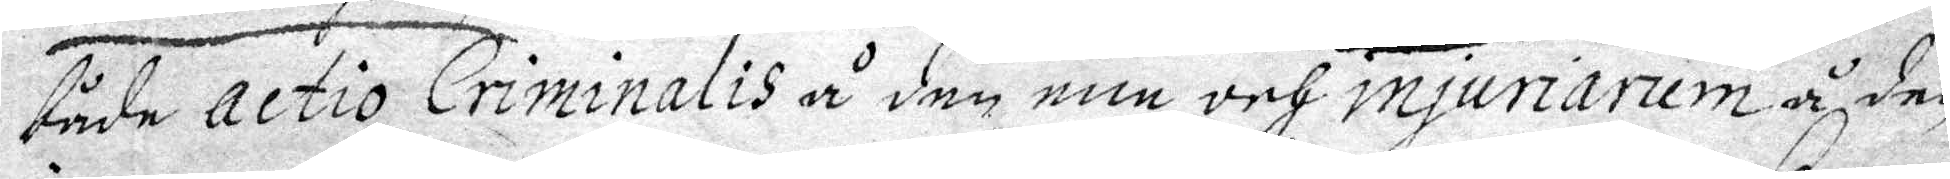både actio Criminalis å den ene, och injuriaruå den
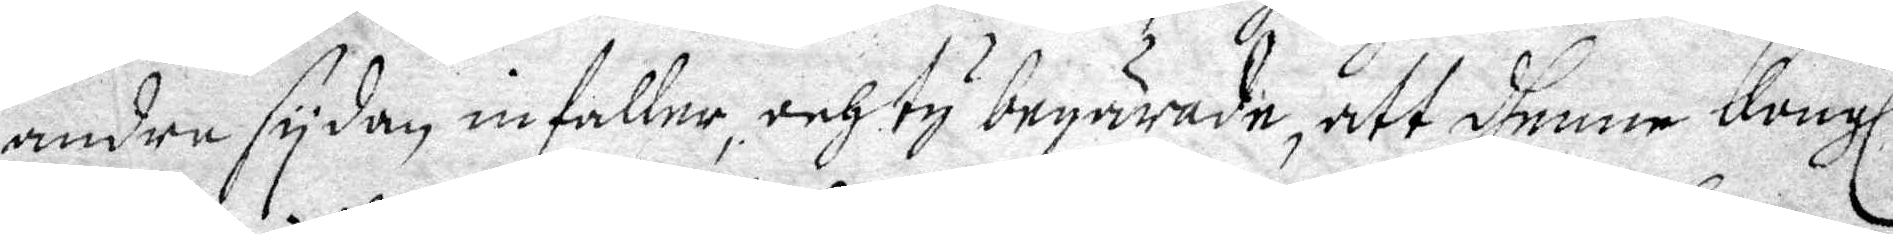andre sydan infaller, och ty begärande, att dhenne Kongl.
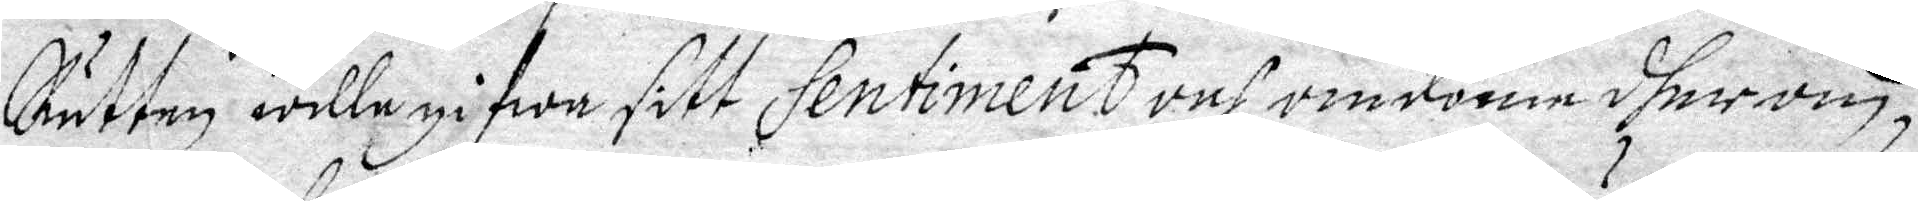Rätten wille gifwa sitt Sentiment och omdöme dher om,
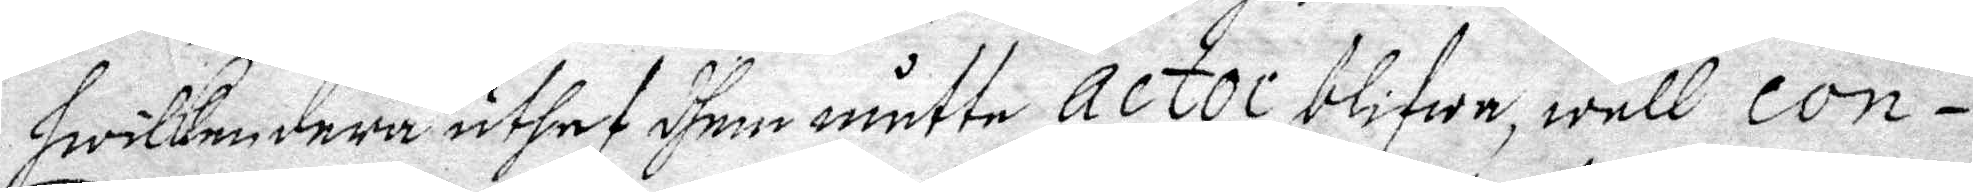hwilken dera uthaf dhem måtte Actor blifwa, wäll Con¬
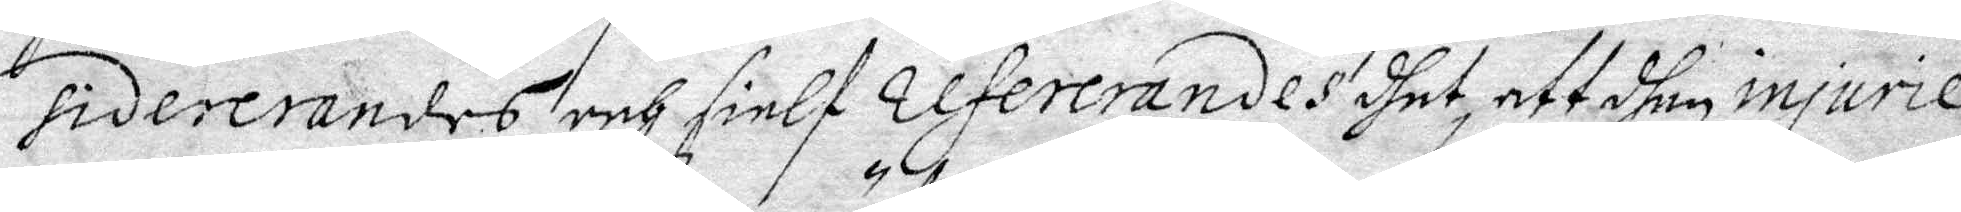sidererandes och sielf refererandes dhet, att dhen injurie
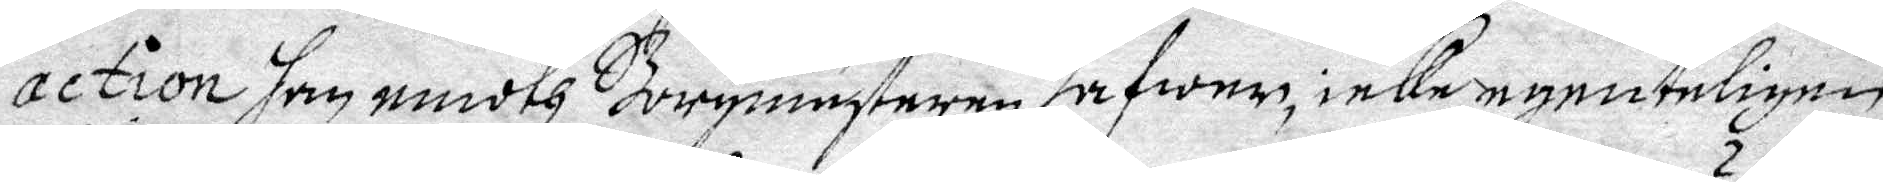action han emoth Borgmästaren hafwer icke egenteligen
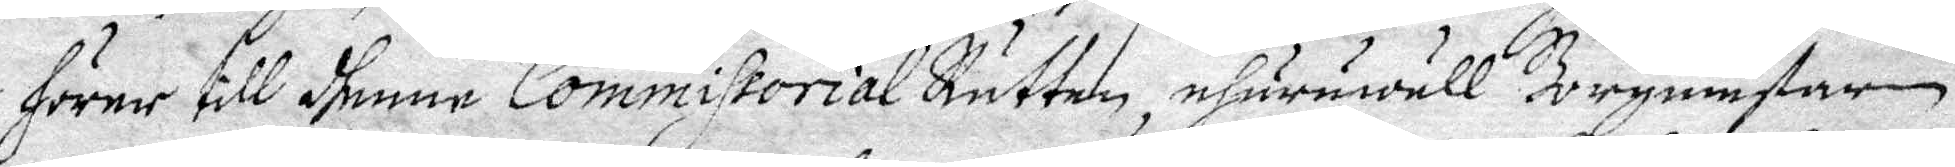hörer till dhenne Commissorial Rätten, ehuruwäll Borgmästaren
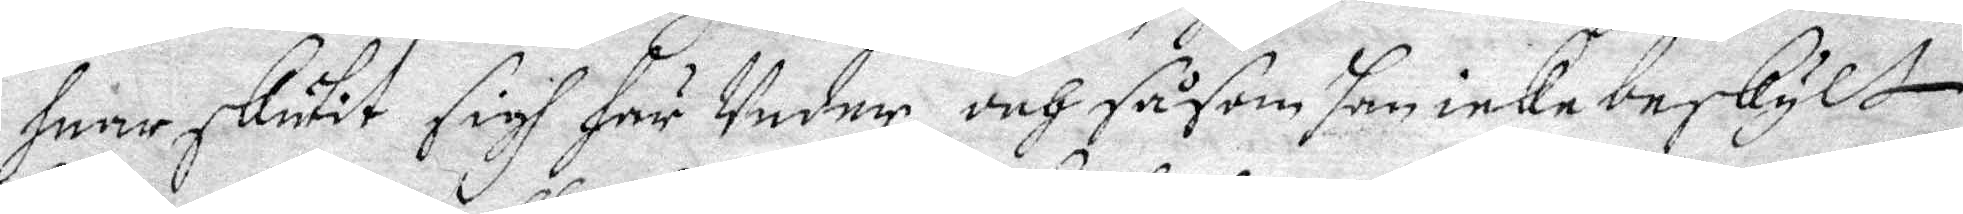huar skutit sigh här Under, och såsom han icke beskylt
